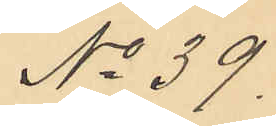No 39.
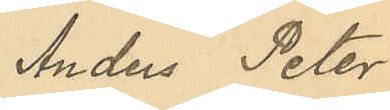Anders Peter
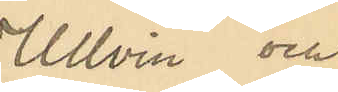Ullvin och
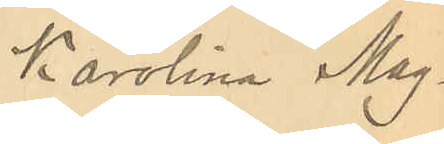Karolina Mag¬
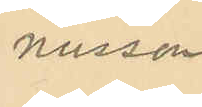nusson
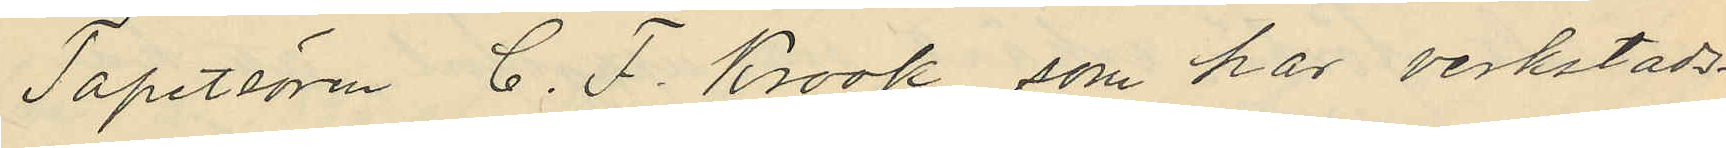Tapetsören C. F. Krook, som har verkstads¬
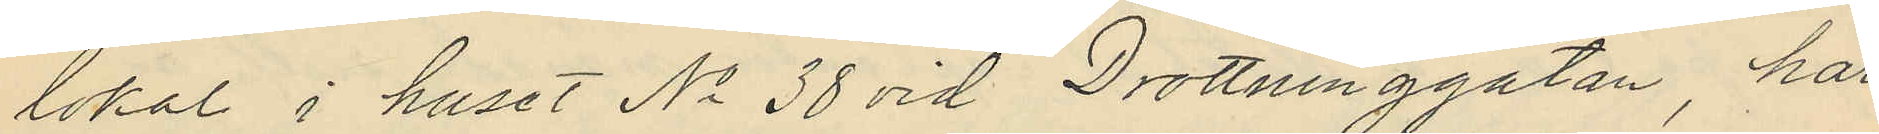lokal i huset No 38 vid Drottninggatan, har
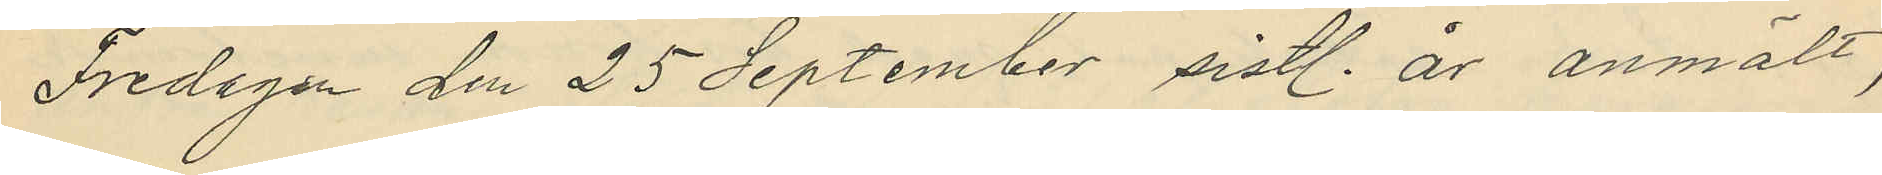Fredagen den 25 September sistl. år anmält,
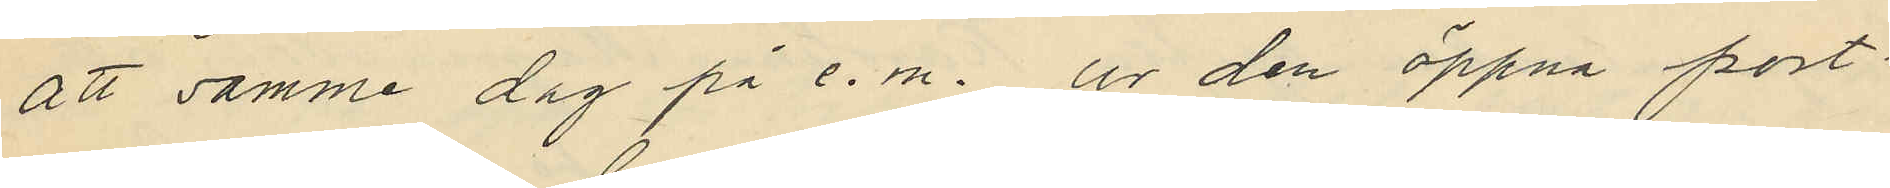att samme dag på e.m. ur den öppna port¬
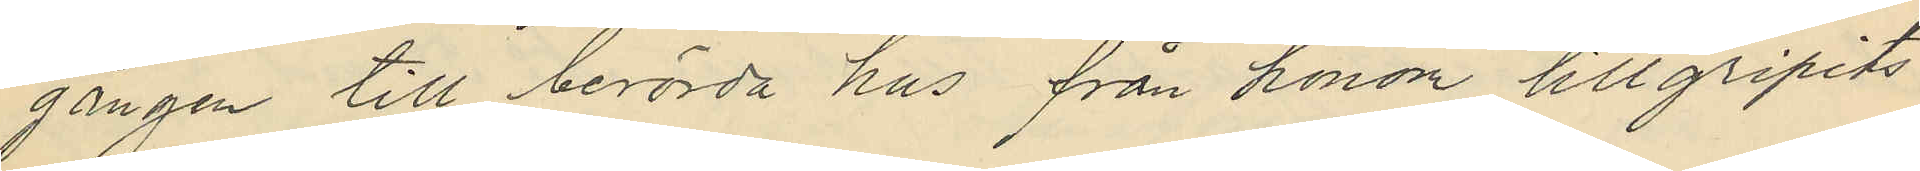gången till berörda hus från honom tillgripits
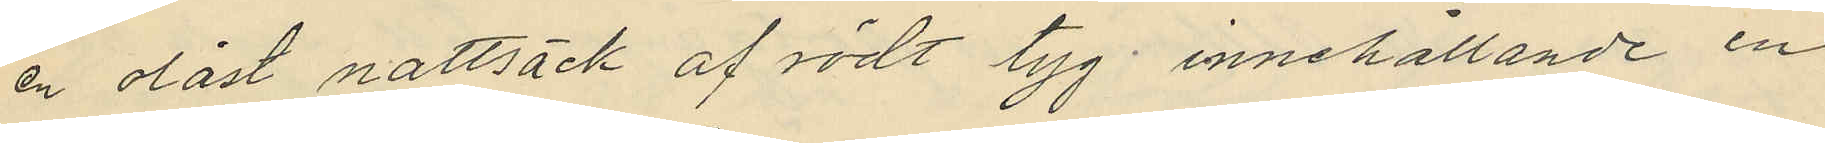en olåst nattsäck af rödt tyg innehållande en
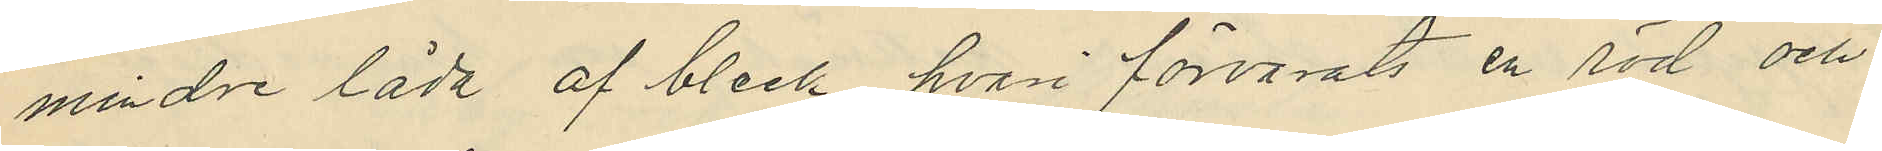mindre låda af bleck hvari förvarats en röd och
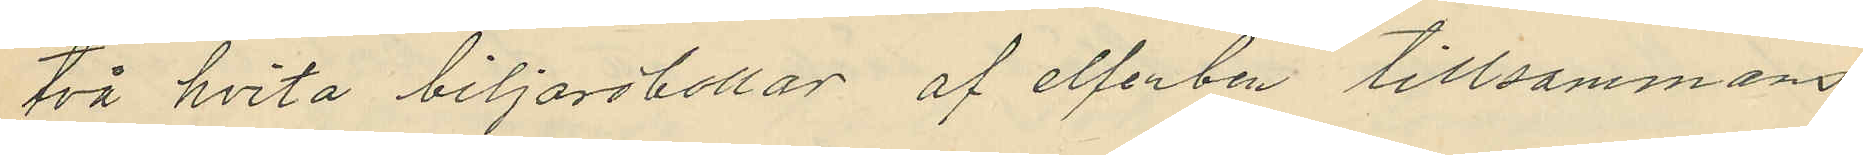två hvita biljardbollar af elfenben tillsammans
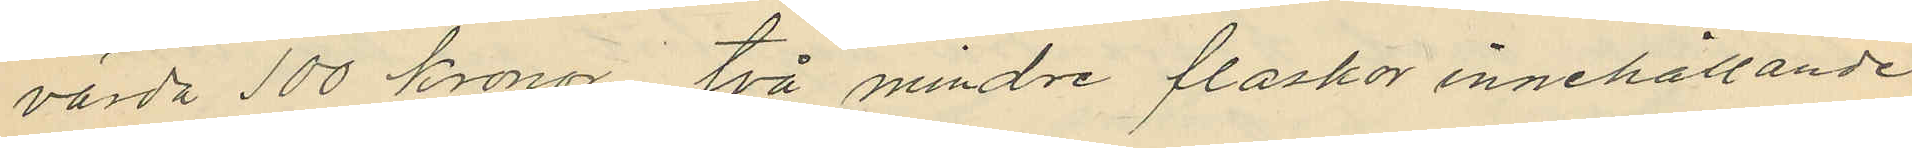värda 100 kronor, två mindre flaskor innehållande
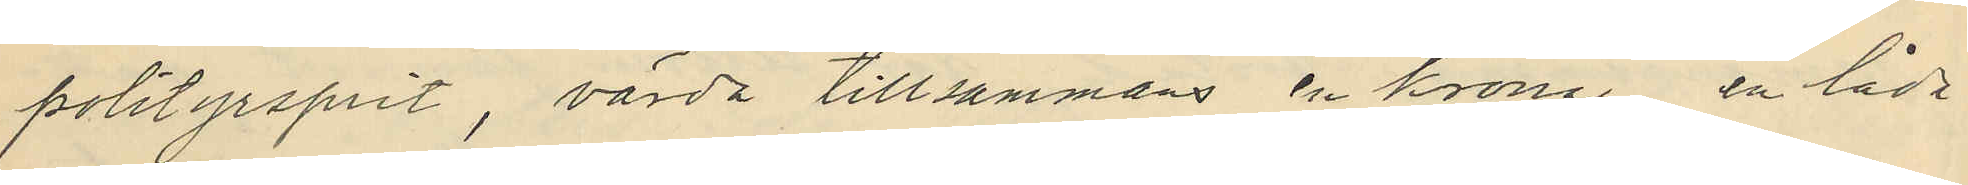polityrsprit, värda tillsammans en krona, en låda
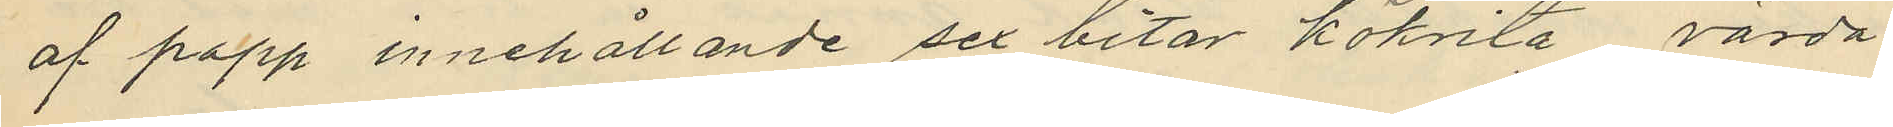af papp innehållande sex bitar kökrita, värda
